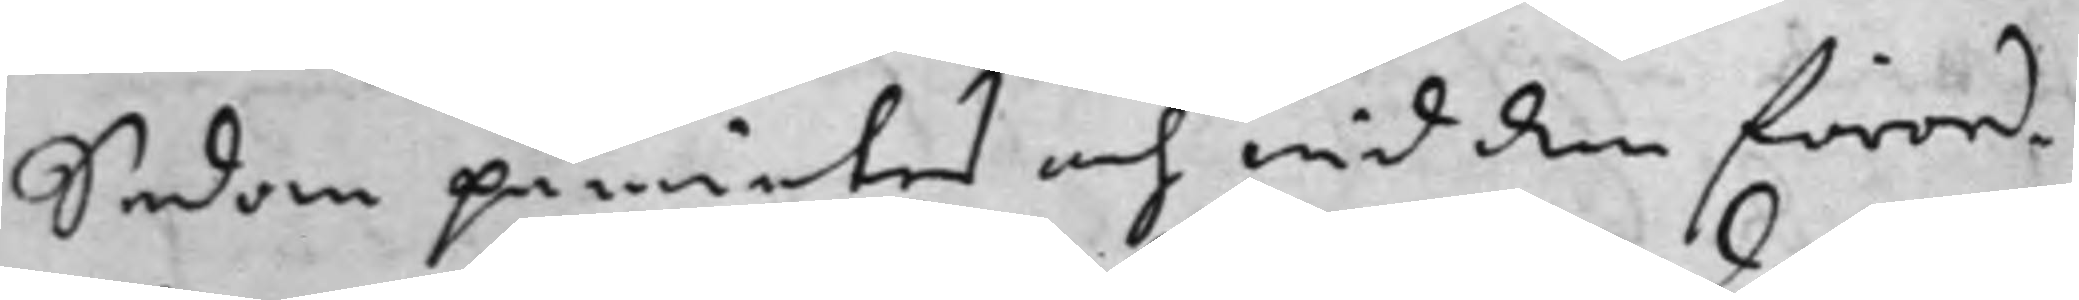Sedan påmintes och wid den förord¬
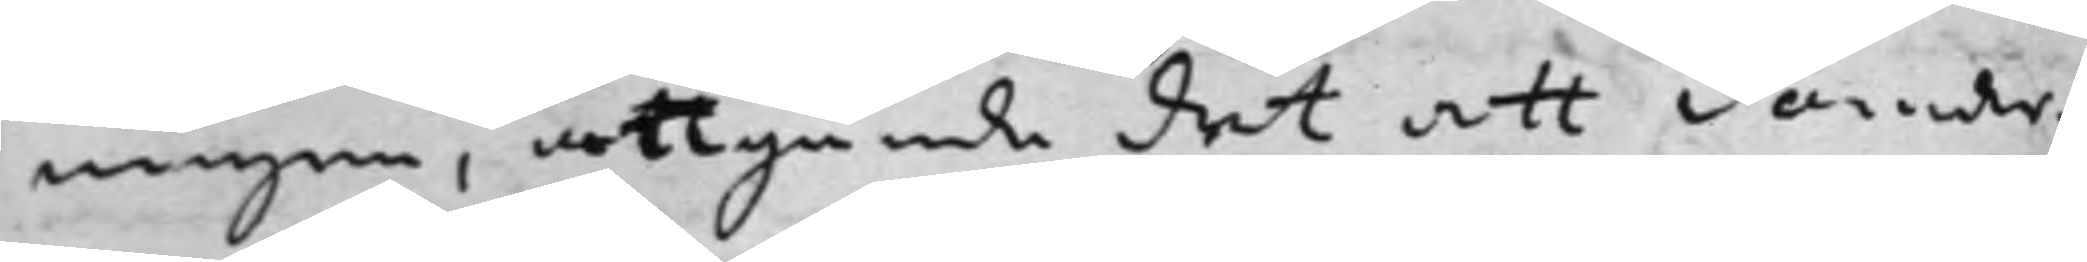ningen, angående det att domar¬
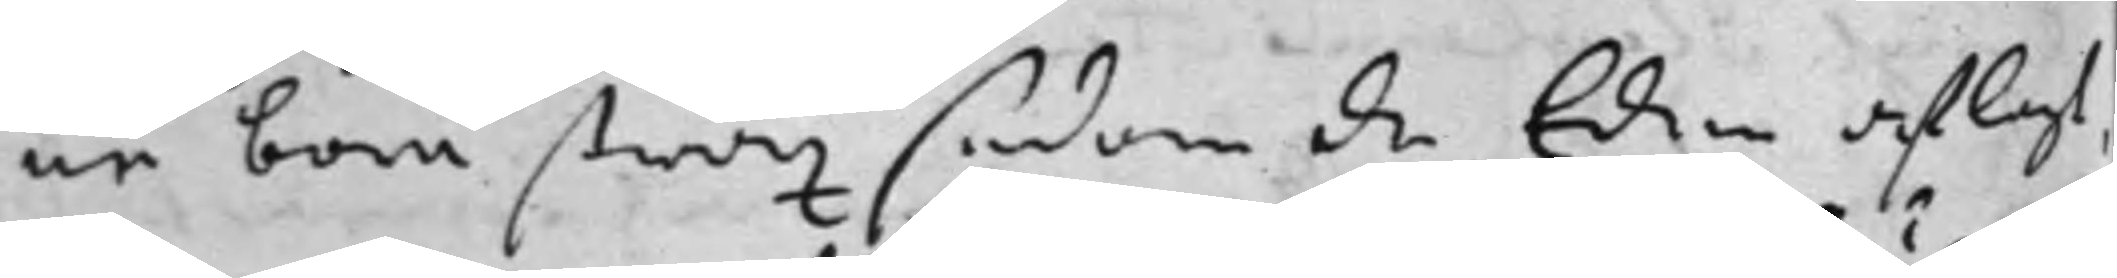ne böra strax sedan de Eden aflagt,
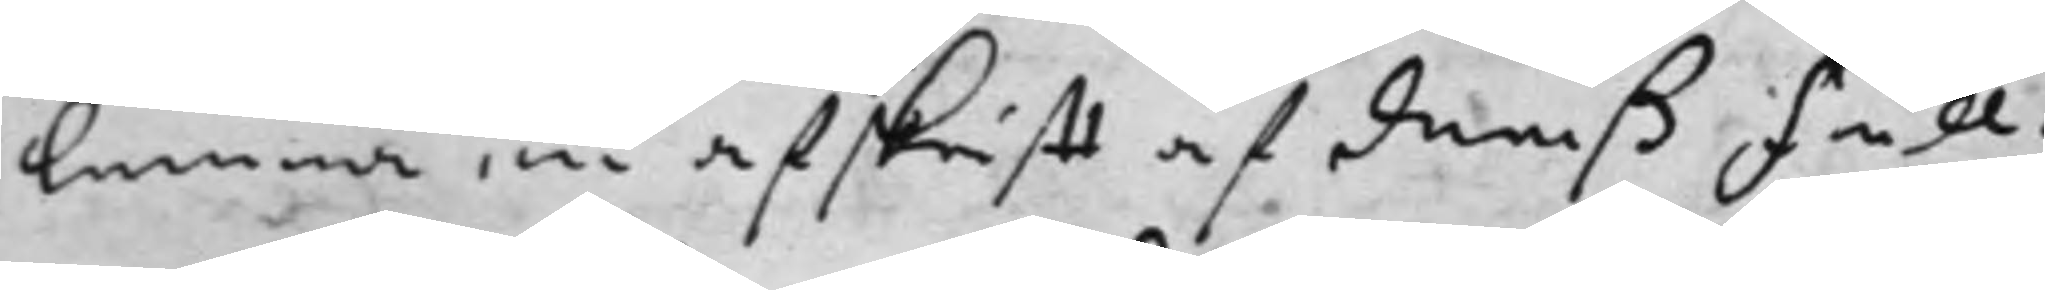lemna en afskrifft af deraß Full¬
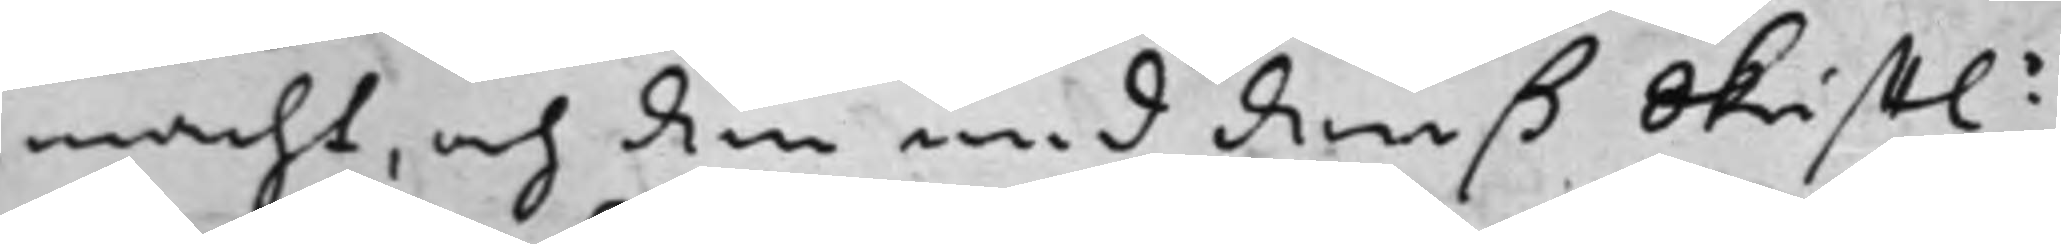macht, och den wid deraß Skrifftl.e
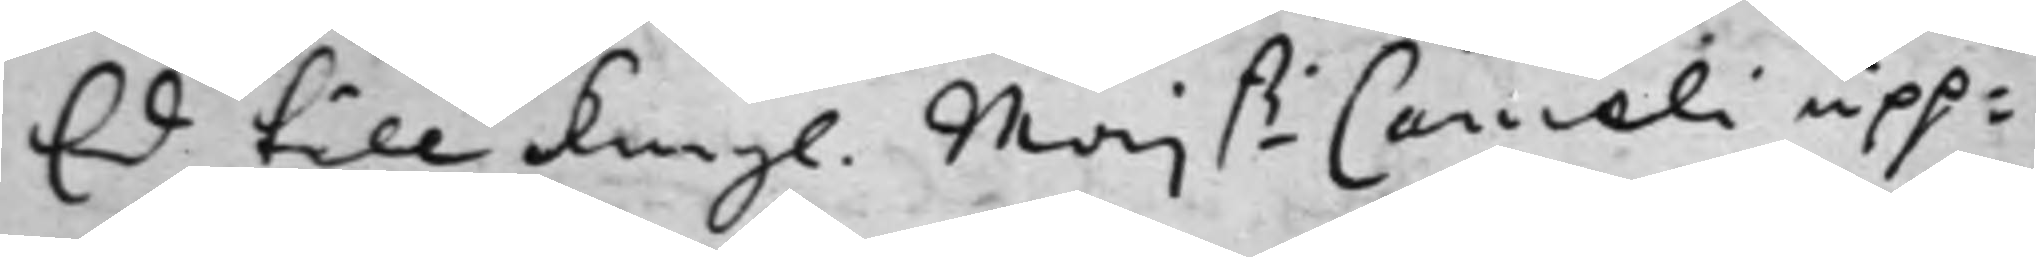Ed till Kongl. Maj.ß Canceli upp¬
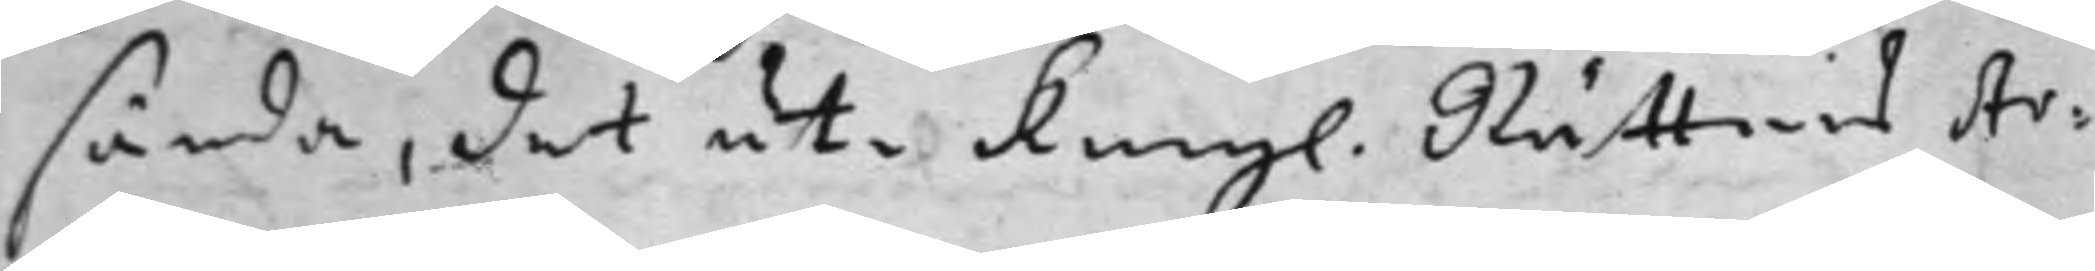sända, det uti Kongl. Rättens Ar¬
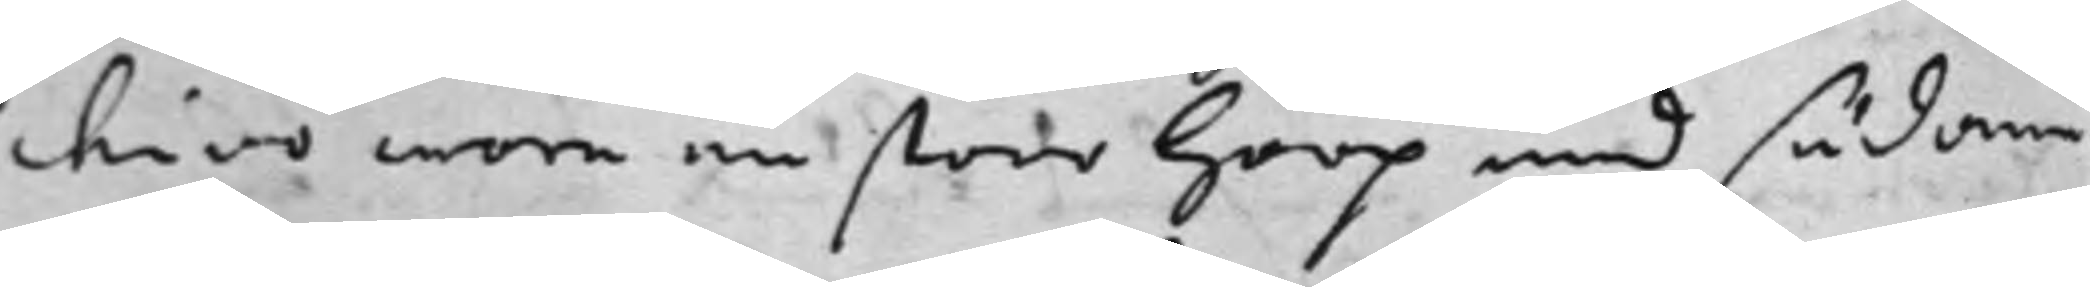chivo wore en stoor Hoop med sådane
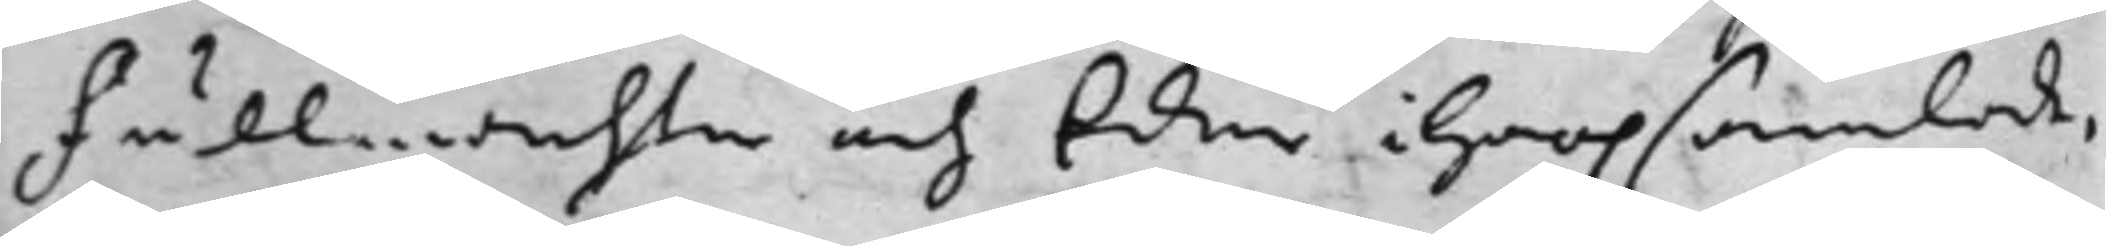Fullmachter och Eder iHoopsamlade,
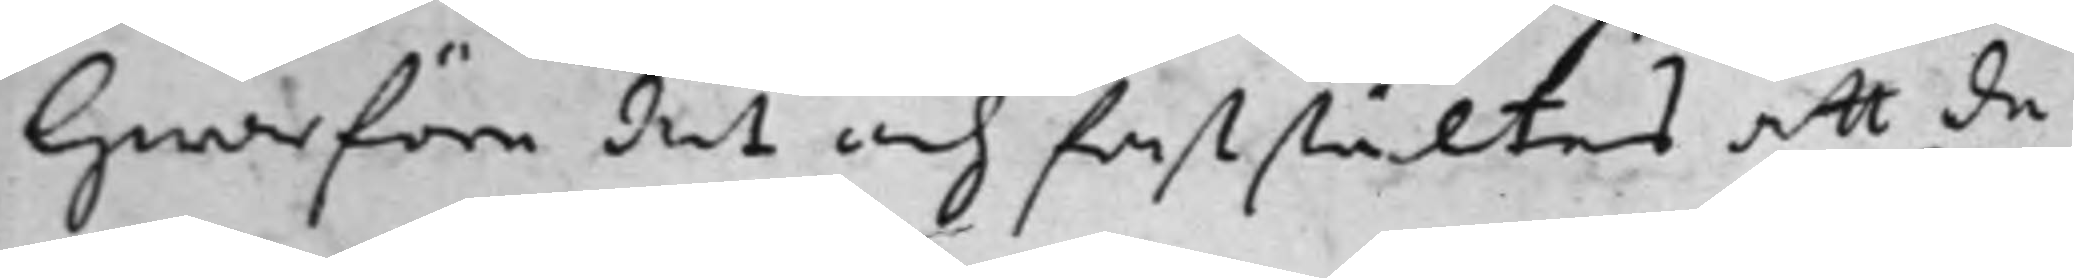Hwarföre det och faststältes att de
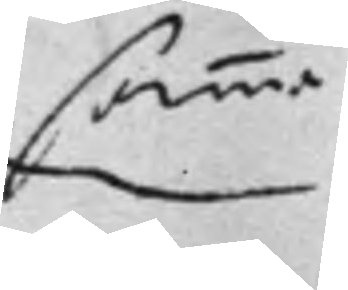samma
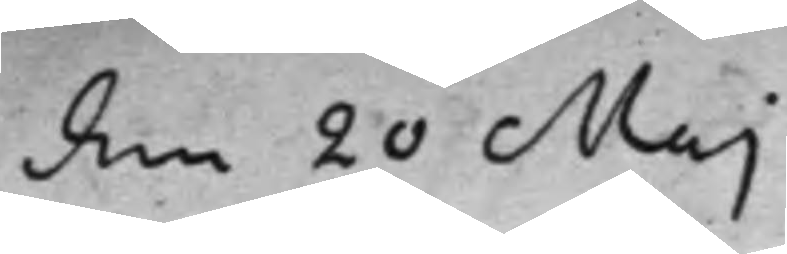den 20 Maj
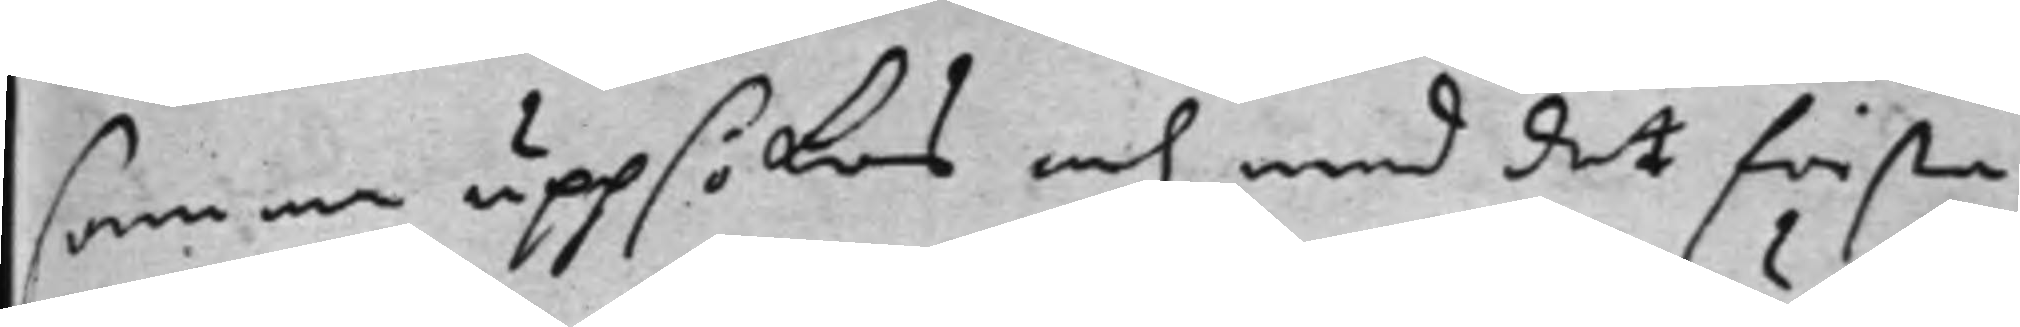samma uppsökas och med det första
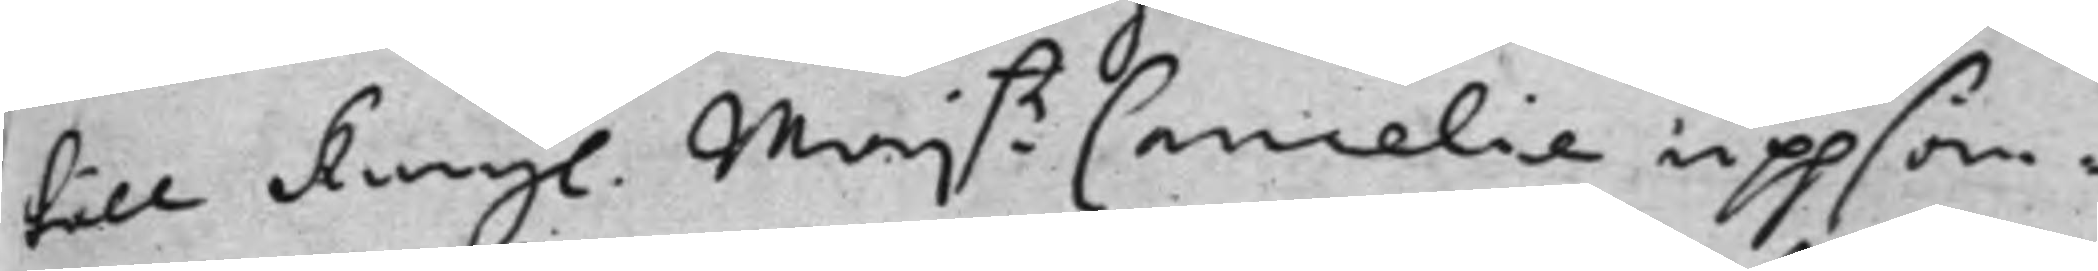till Kongl. Maj:tz Cancelie uppsän¬
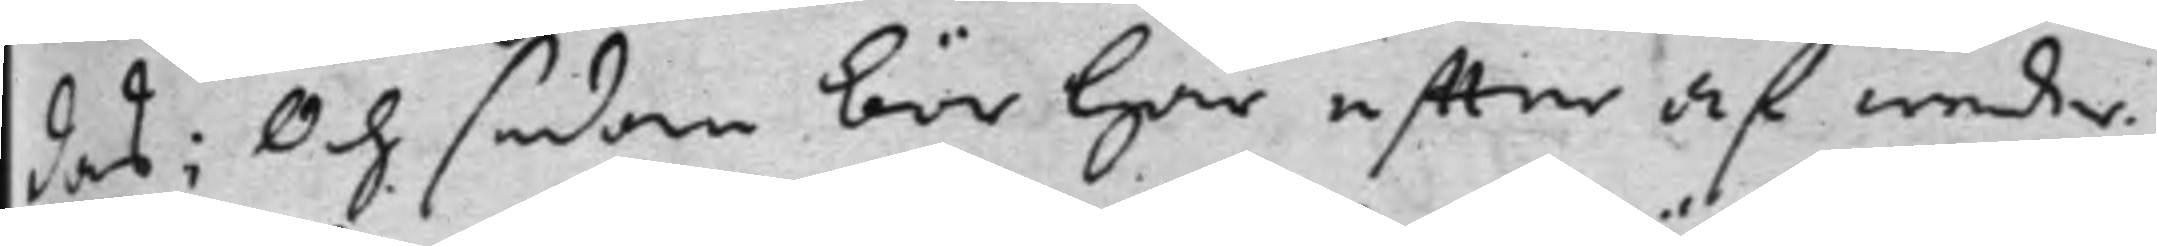das; Och sedan bör här effter af weder¬
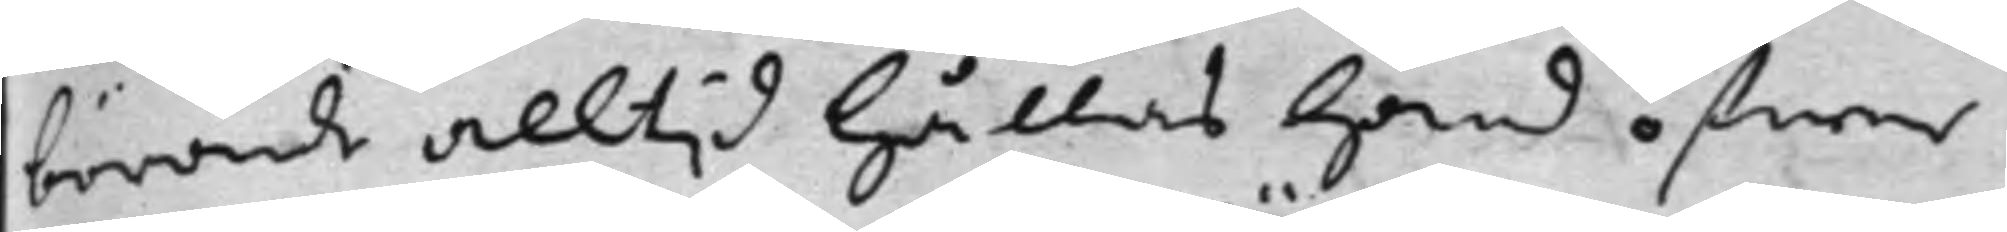börande alltid hållas hand öfwer
